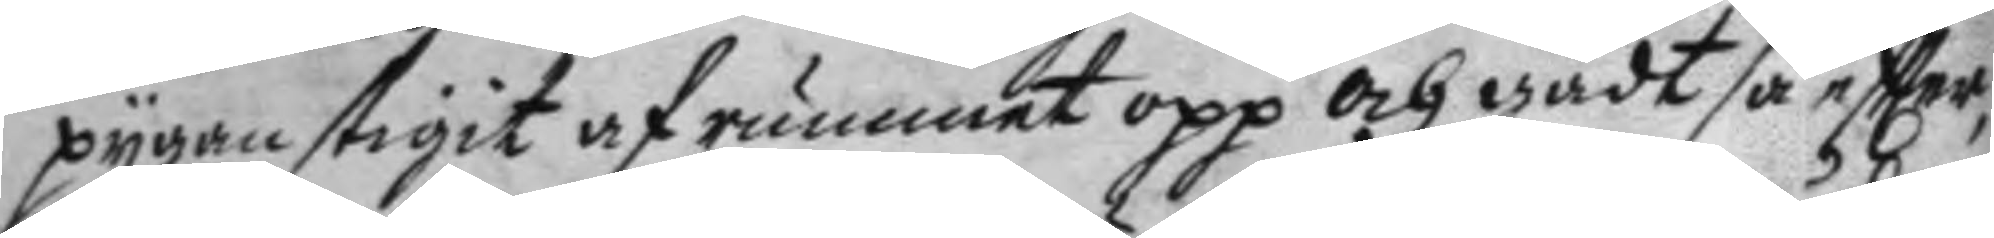pygan stigit af rummet opp och gådt så eftter
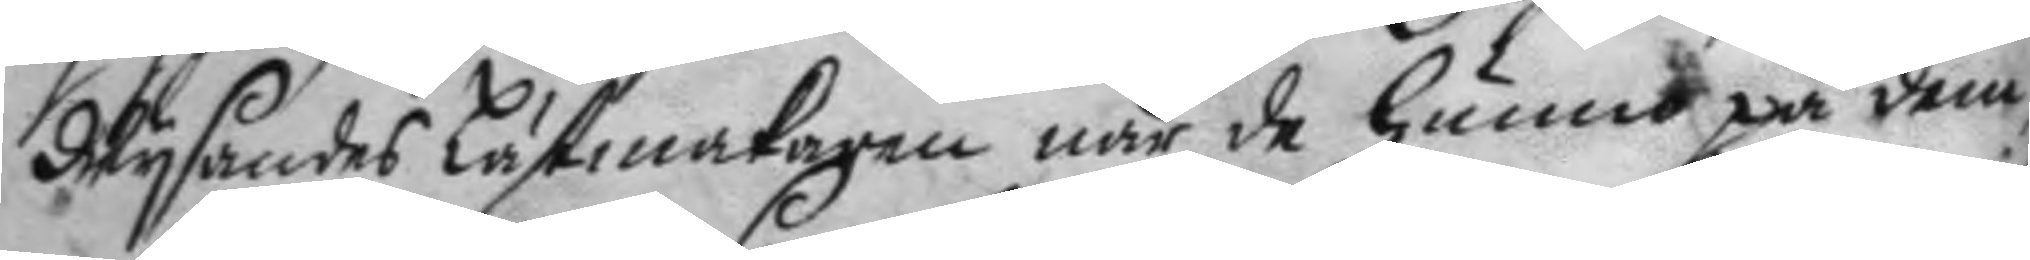Wysandes Lästmakaren när de hunno på dem
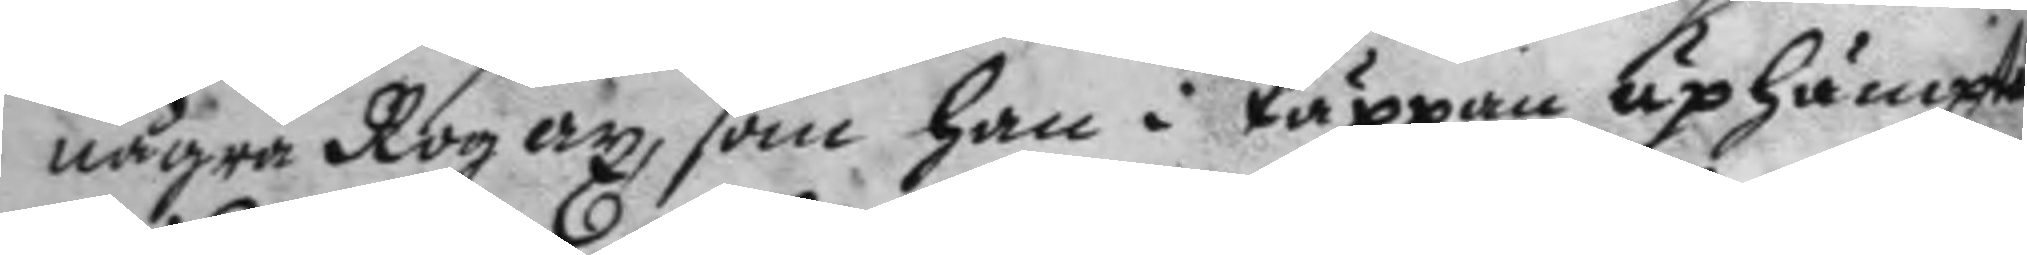några Rog ax, som han i täppan uphämta
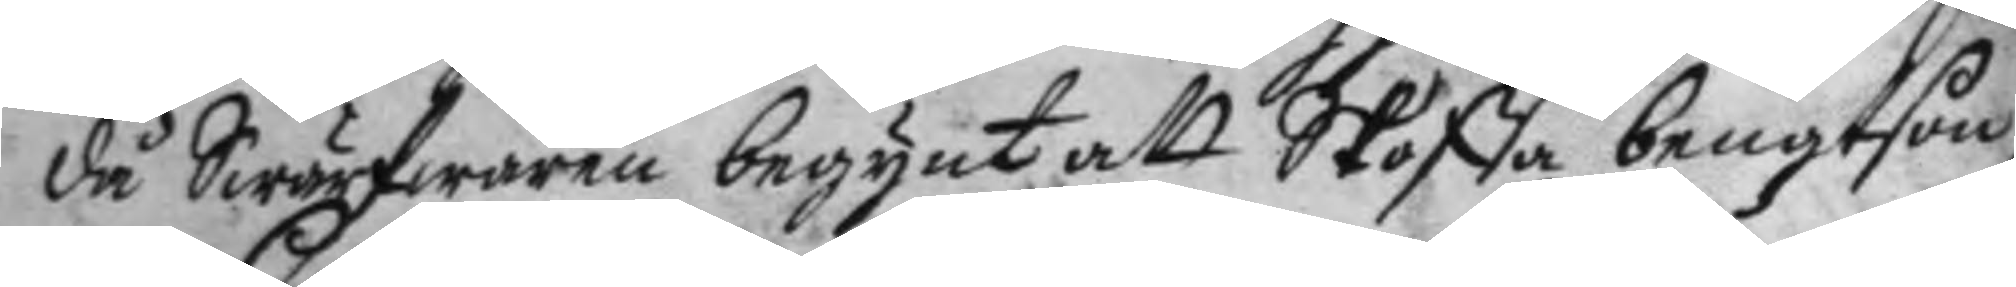då Swärfwaren begunt att Skoffa bengtson
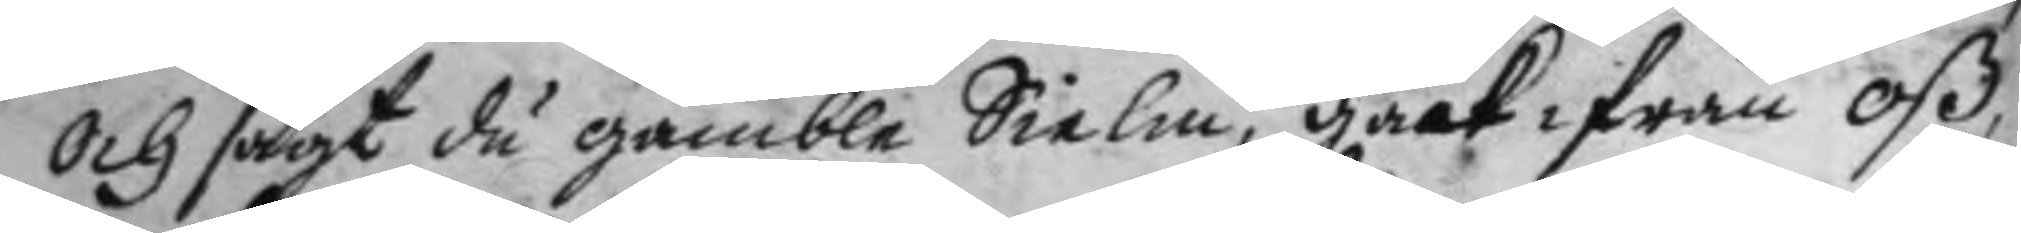och sagt du gamle Skielm, gack ifrån oß,
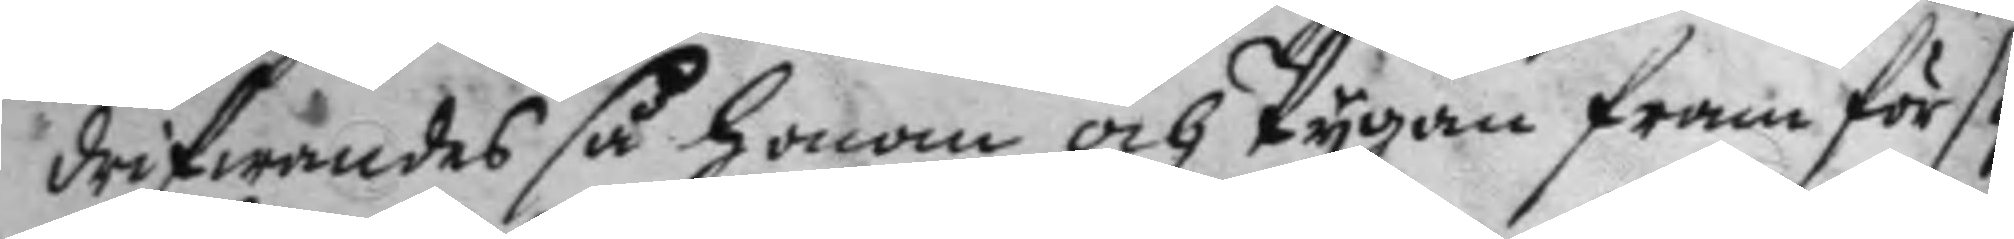drifwandes så honom och Pygan framför sig
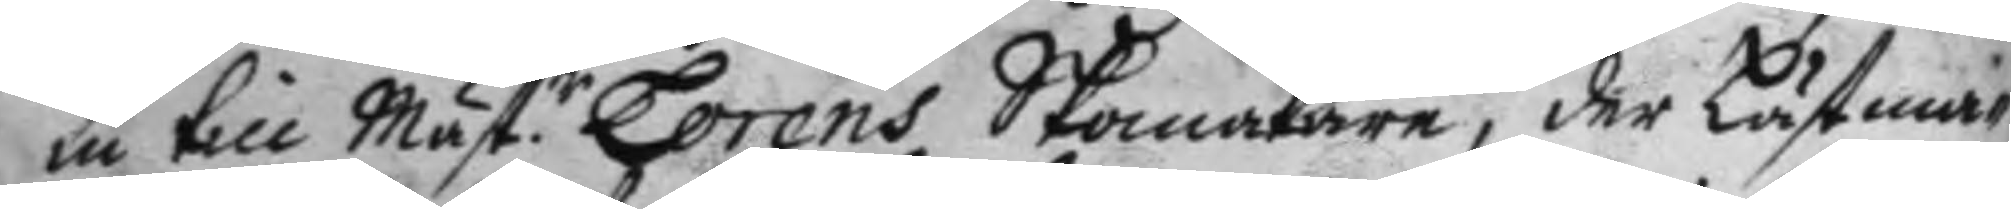in till Mäst.r Lorens Skomakare, der Lästma¬
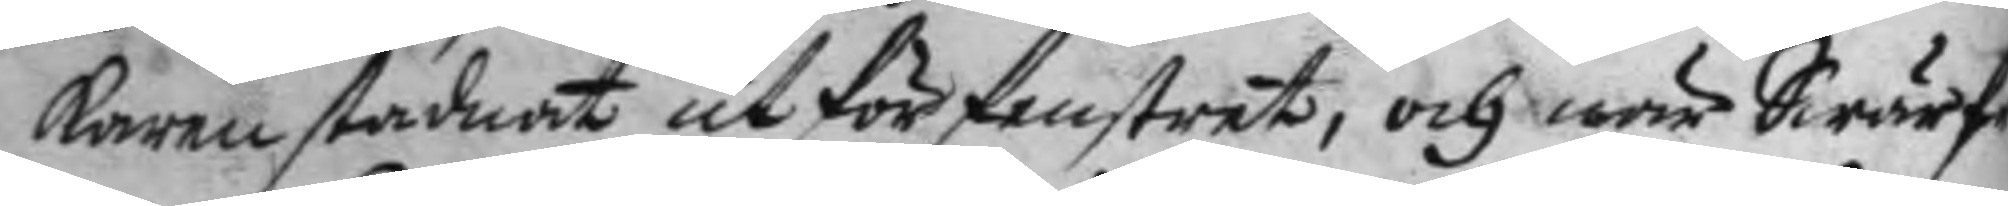karen stadnat utför fenstret, och när Swärf¬
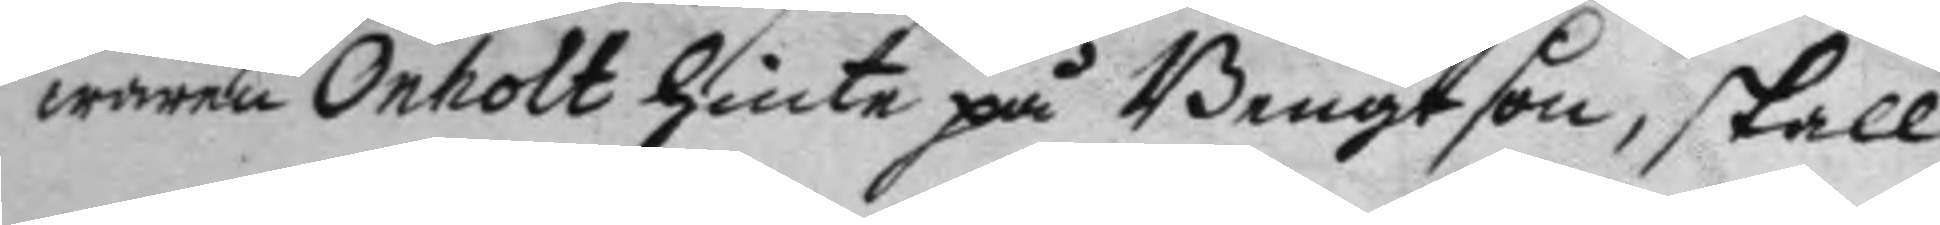waren Onholt hinte på Bengtson, skall
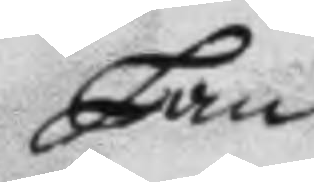han
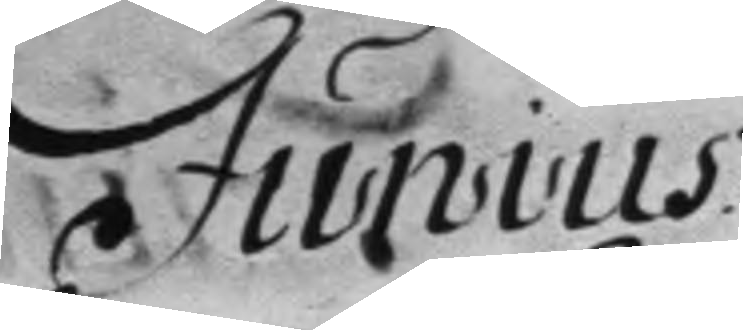Junius
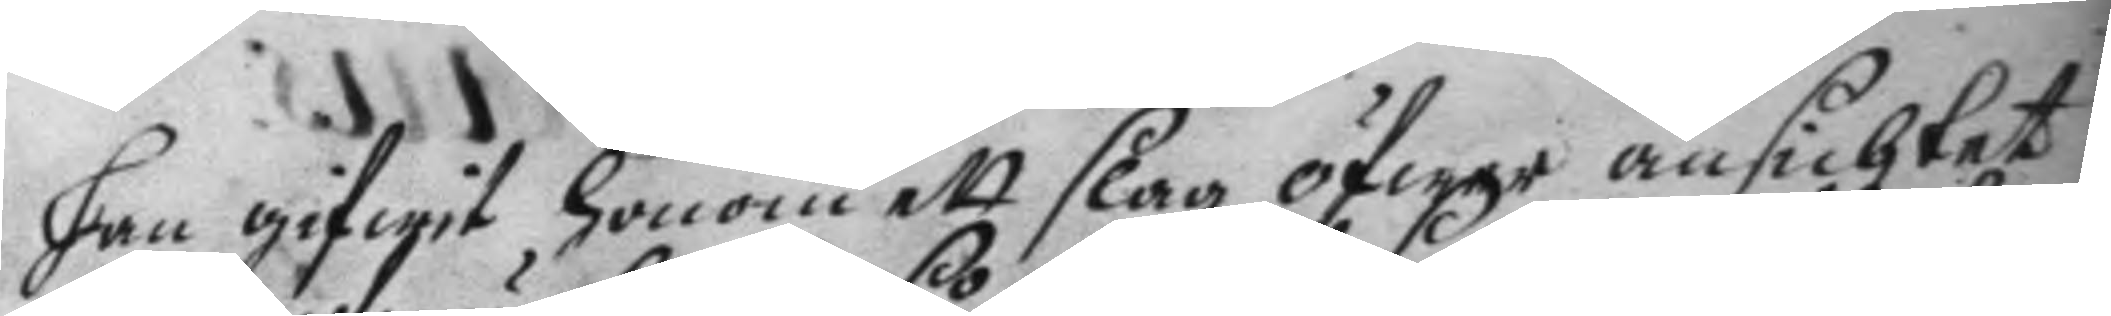han gifwit honom ett slag öfwer ansichtet
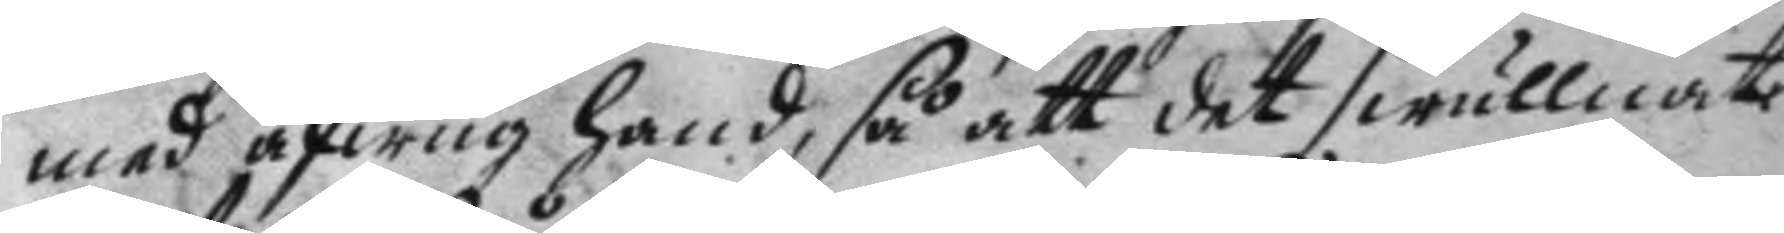med afwug hand, så att det swullnat 
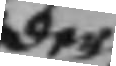der
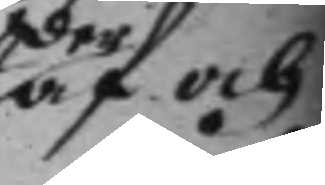af och
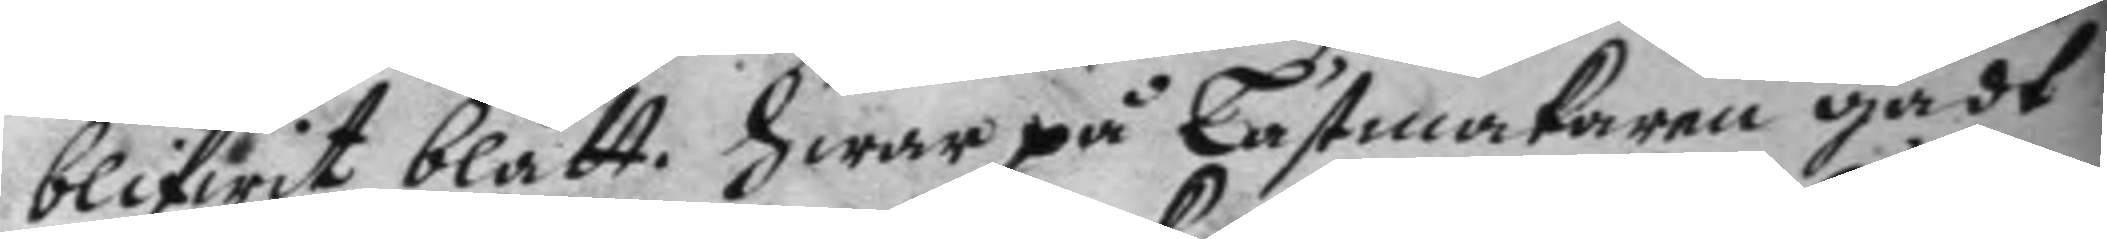blifwit blått. hwar på Lästmakaren gådt
